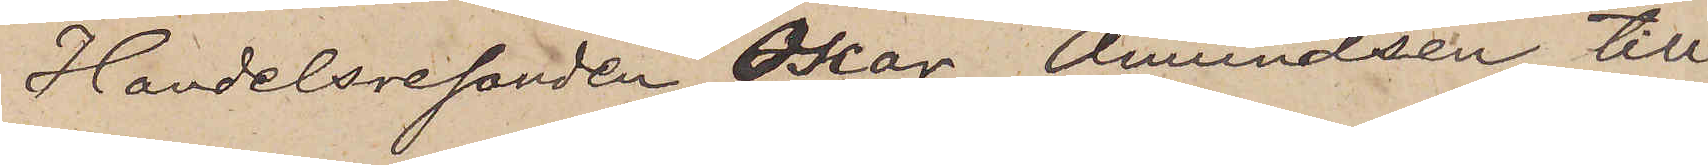Handelsresanden Oscar Amundsen till
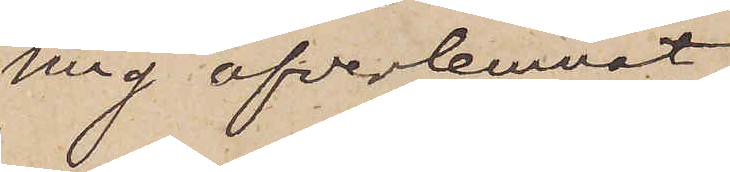mig öfverlemnat,
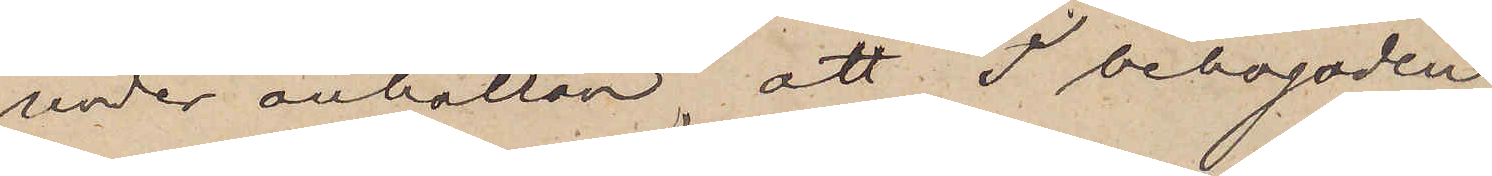under anhållan, att I behagade
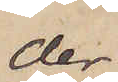der¬
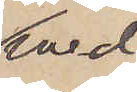med
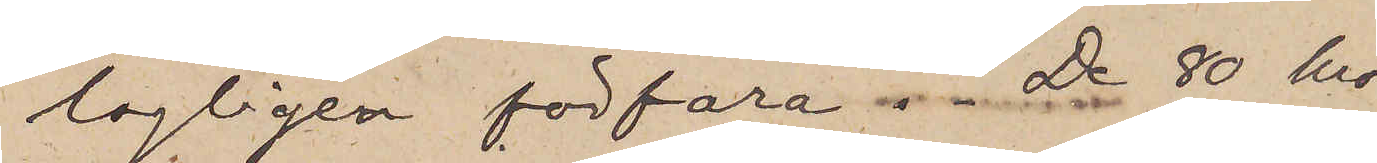lagligen förfara. De 80 kro¬
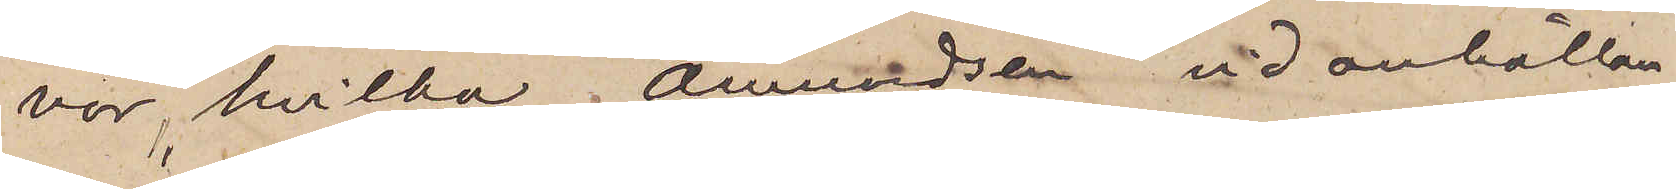nor, hvilka Amundsen vid anhållan¬
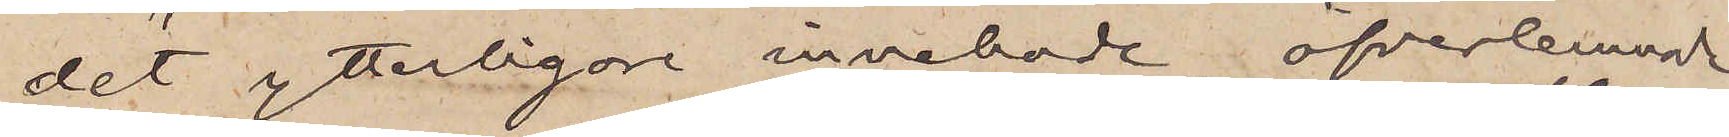det ytterligen innehade, öfverlemnade
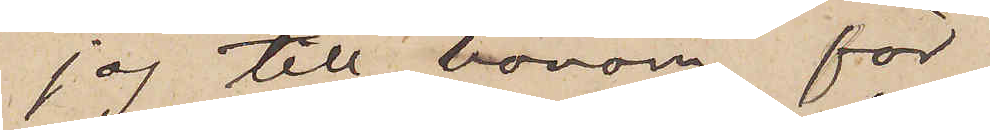jag till honom för
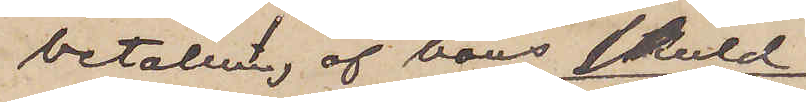betalning af hans skuld
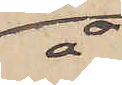å
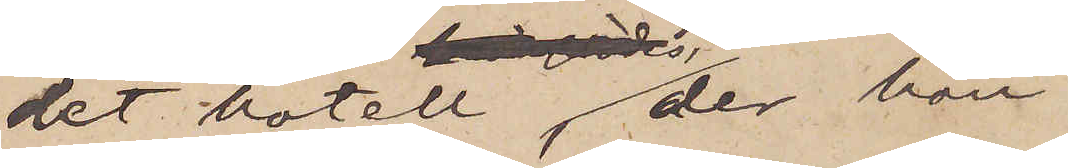det hotell, der han
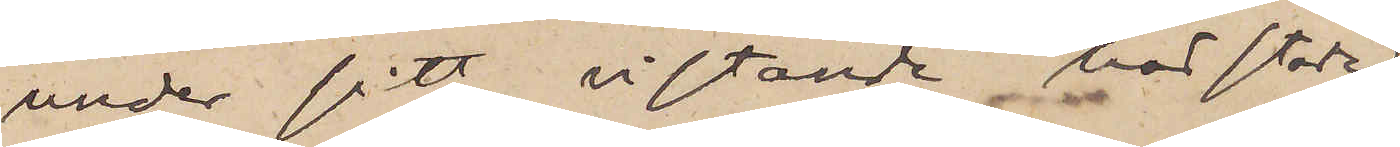under sitt vistande härstädes
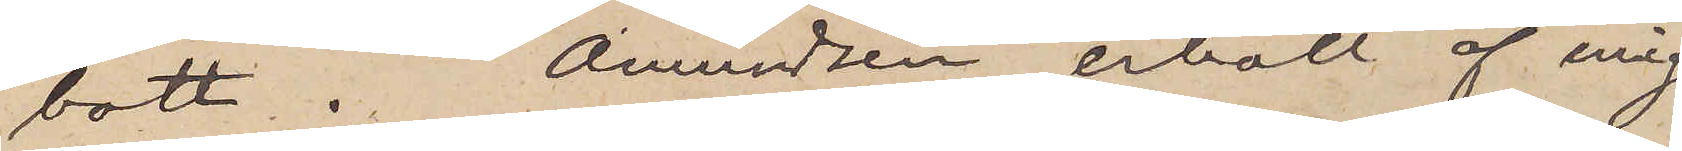bott. Amundsen erhöll af mig
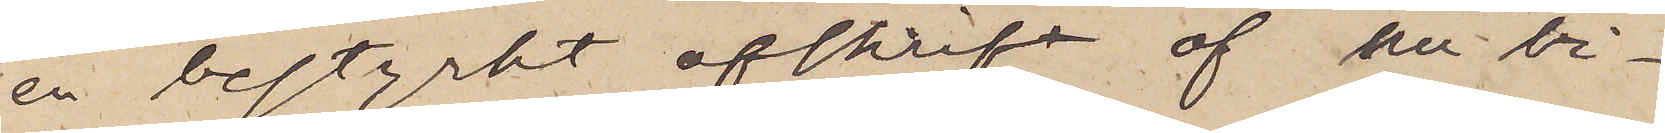en bestyrkt afskrift af nu bi¬
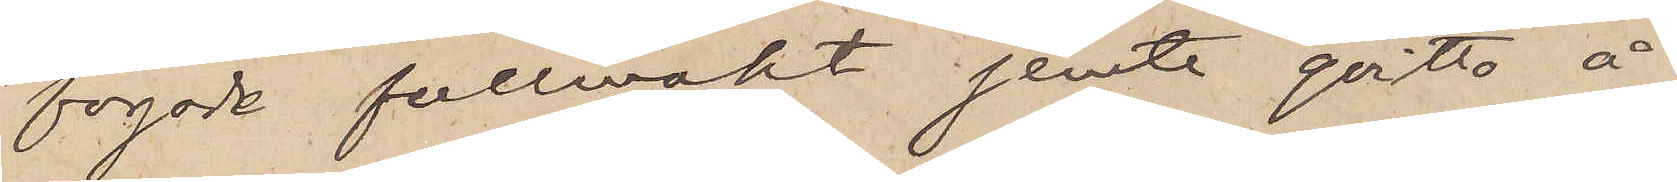fogade fullmakt jemte qvitto å
